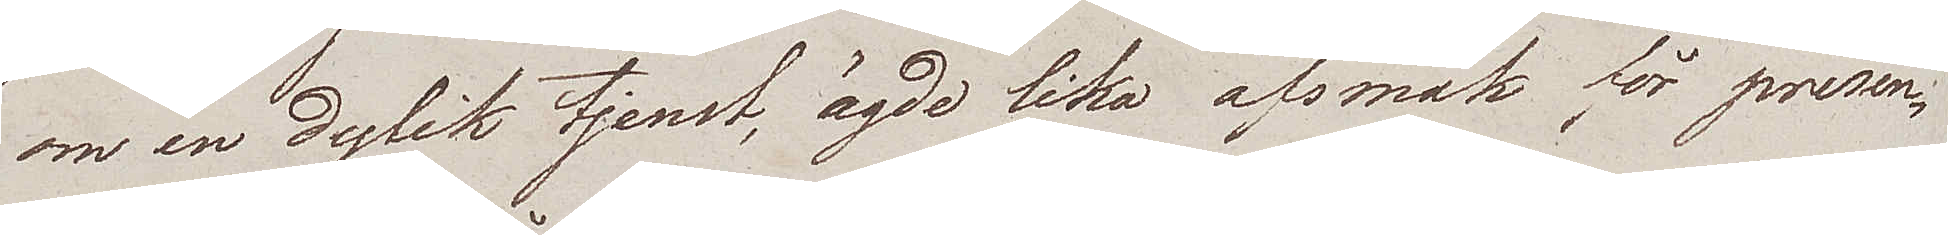om en dylik tjenst, ägde lika afsmak för presen¬
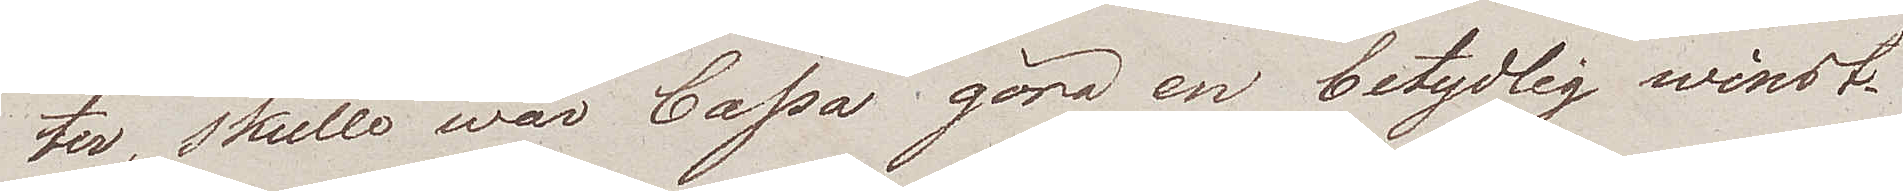ter, skulle wår cassa göra en betydlig winst.
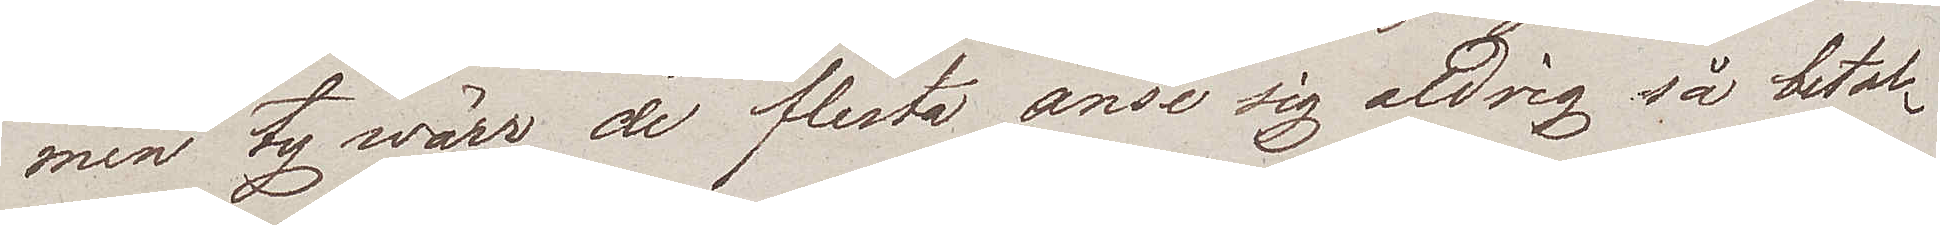men ty wärr, de flesta anse sig aldrig så betal¬
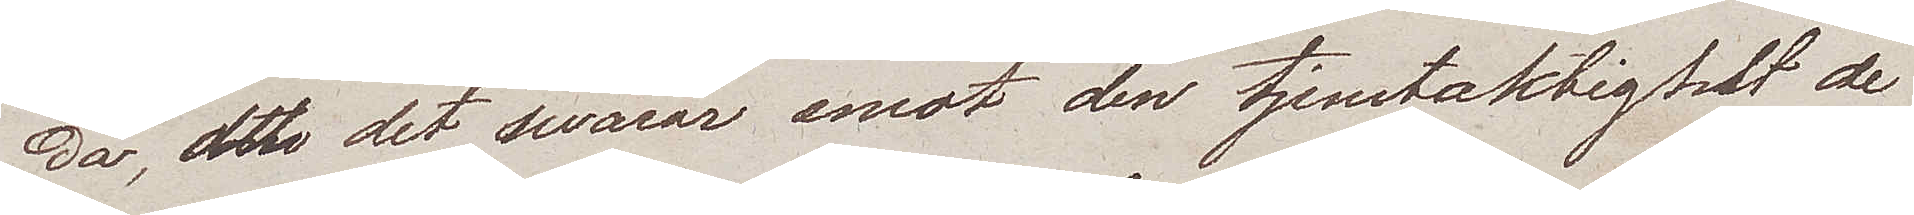da, att det swarar emot den tjenstaktighet de
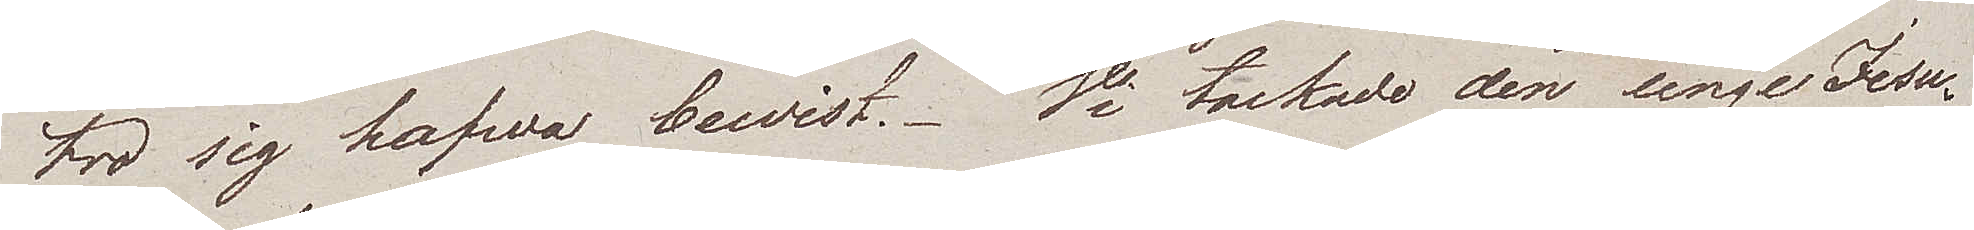tro sig hafwa bewist. Vi tackade den unge Jesu¬
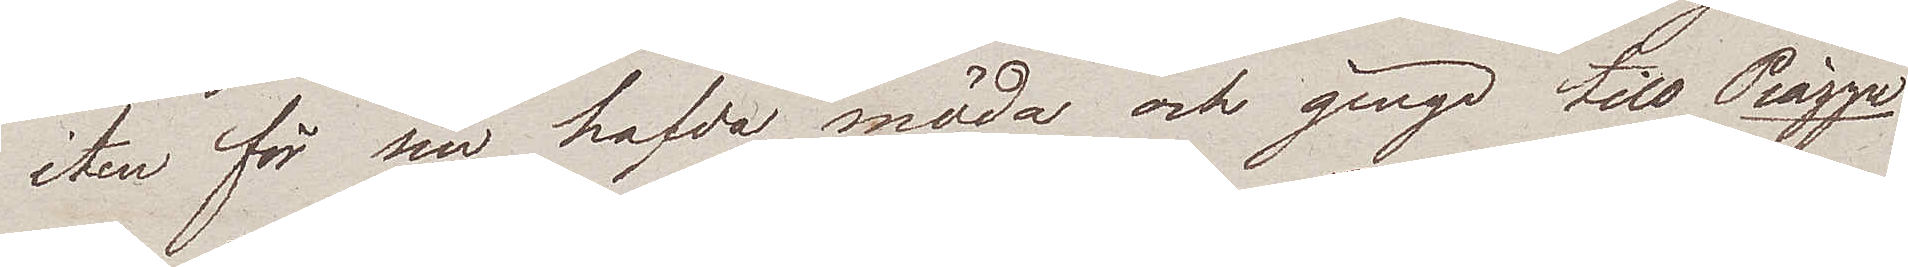iten för sin hafda möda och ginge till Piazza
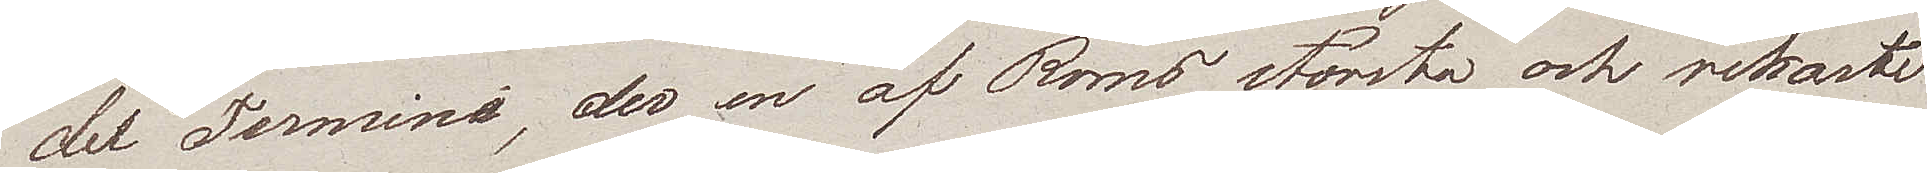del Termini, der en af Roms största och rikaste
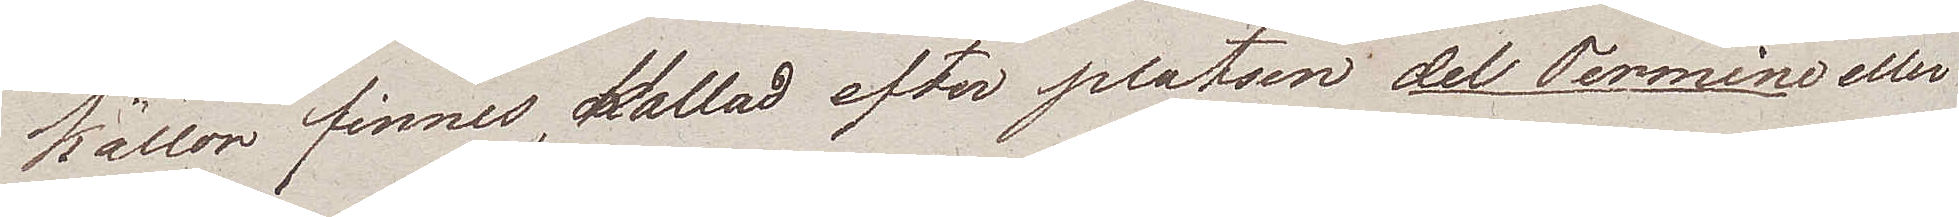källor finnes, kallad efter platsen del Termine eller
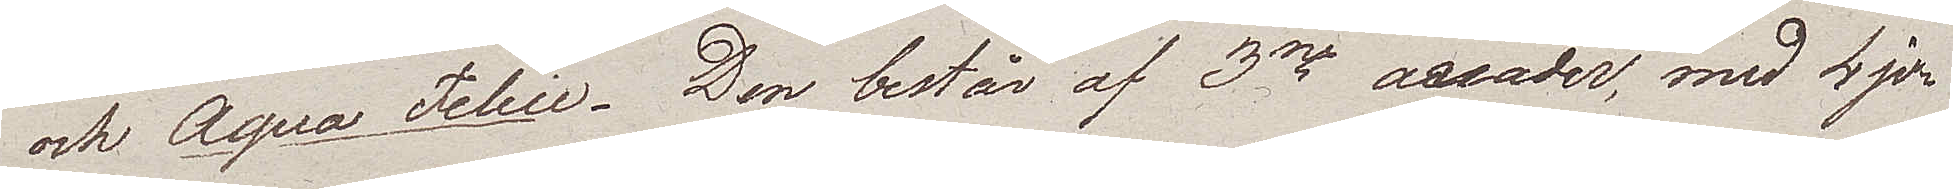och Aqua Felice. Den består af 3ne arcader, med 4 jo¬
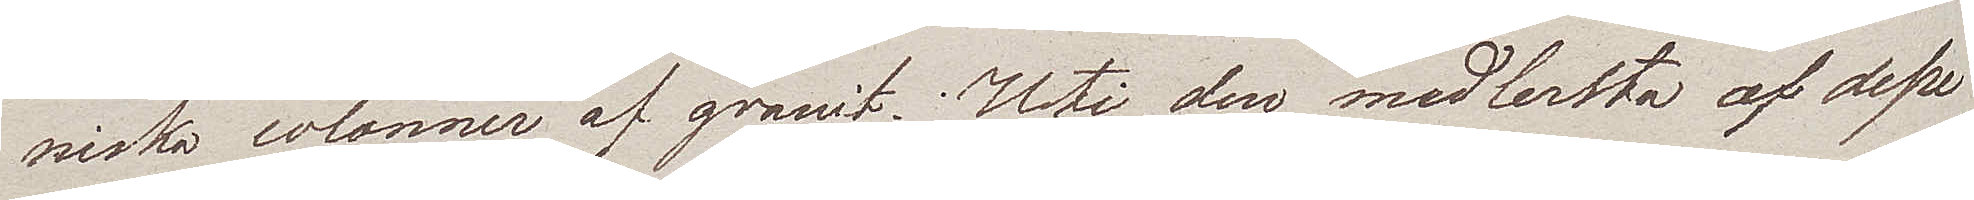niska colonner af granit. Uti den medlersta af desse
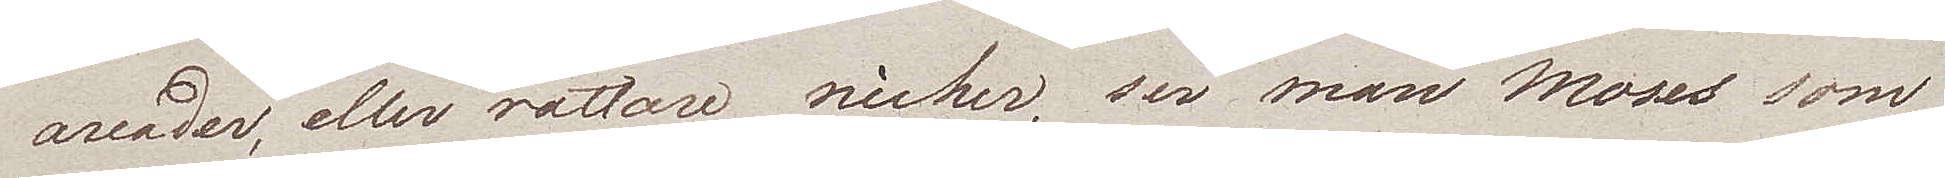arcader, eller rättare nicher, ser man Moses som
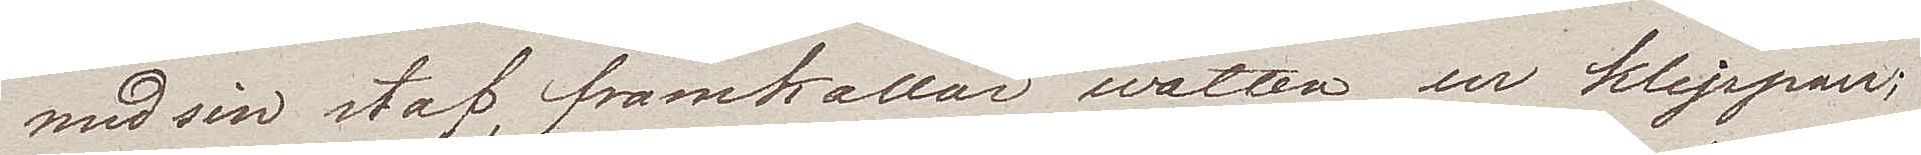med sin staf, framkallar watten ur klippan;
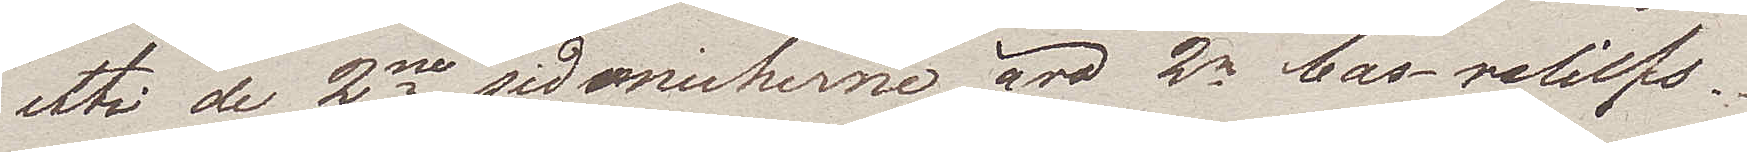uti de 2ne sidonicherne äro 2ne bas-reliefs.
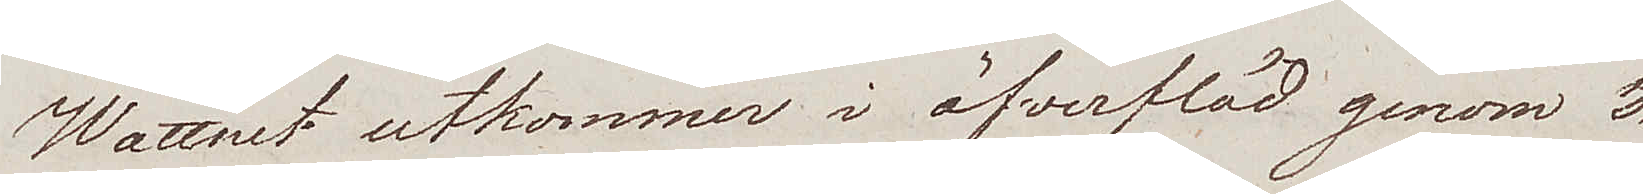Wattnet utkommer i öfverflöd genom 3
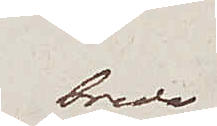breda
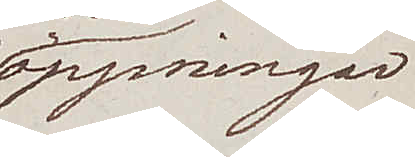öppningar
